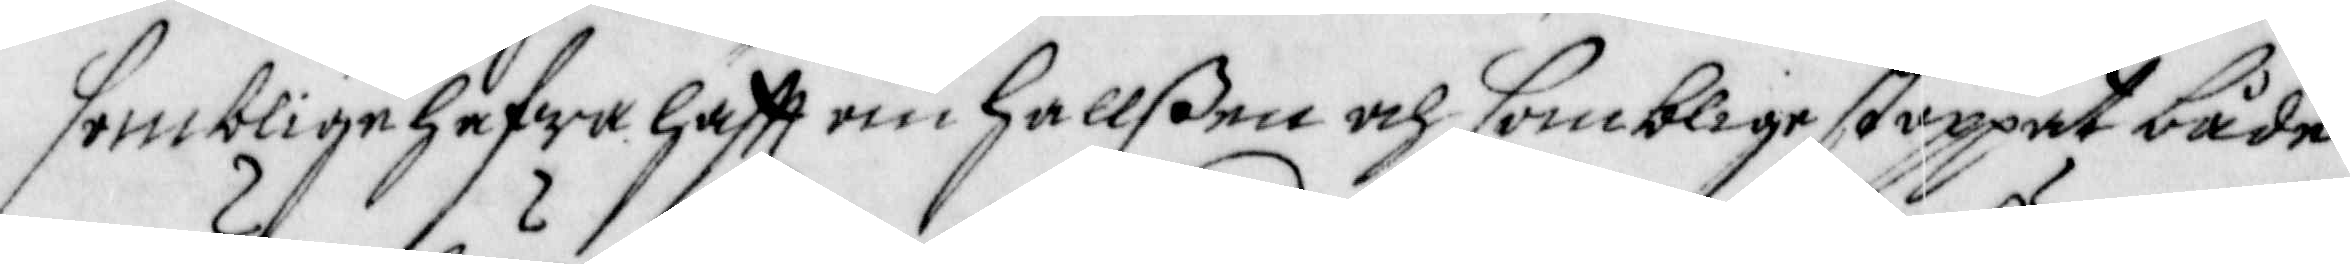somblige hafwa hafft om hallßen och somblige stoppat både
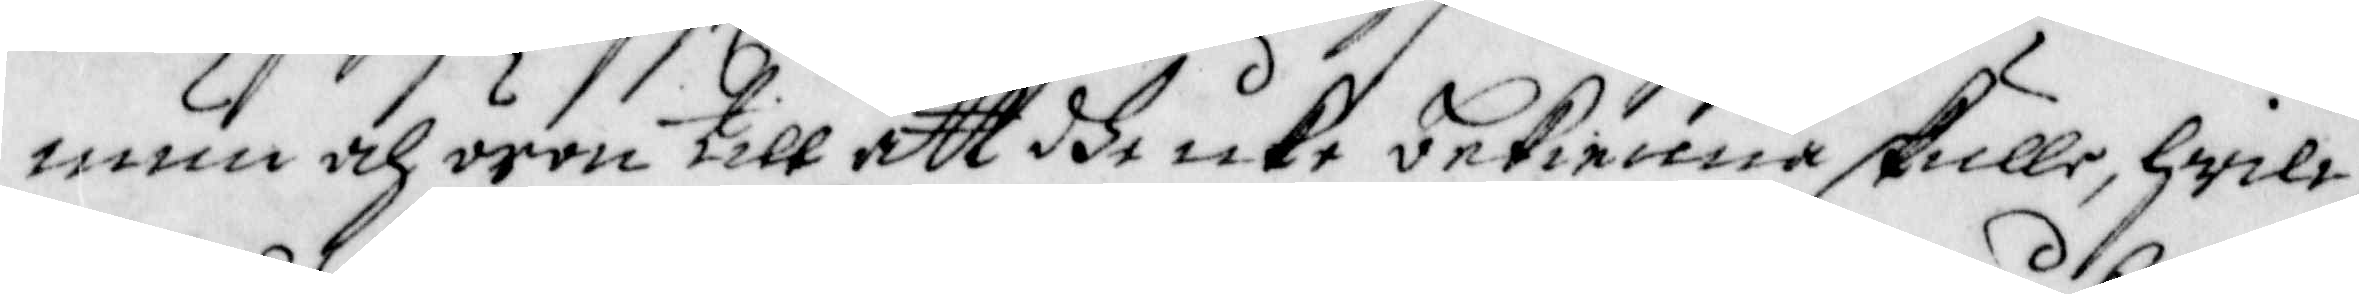mun och öron till att dhe icke bekienna skulle, hwilc¬
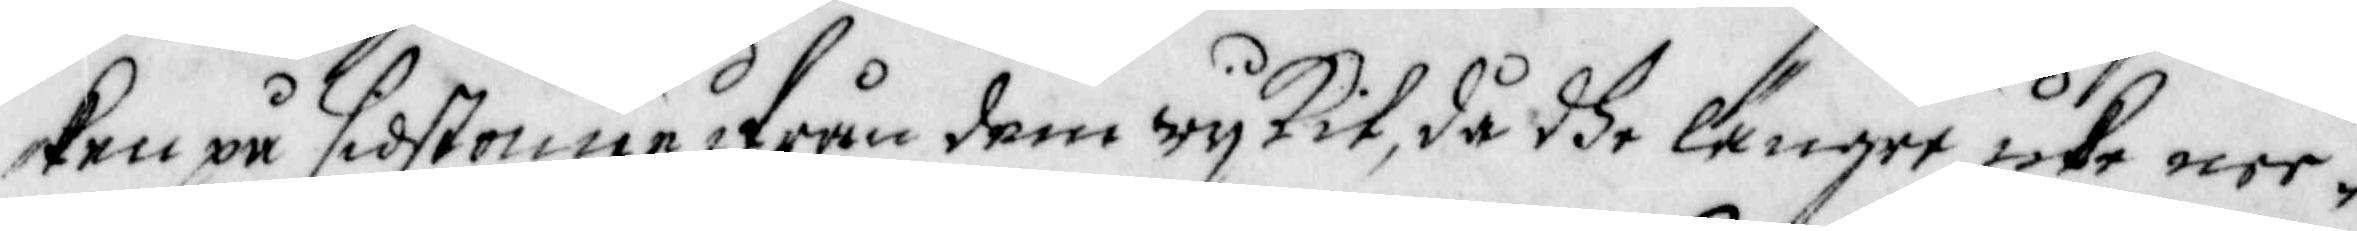ken på sidstonne ifrån dem wijkit, då dhe längre icke nee¬
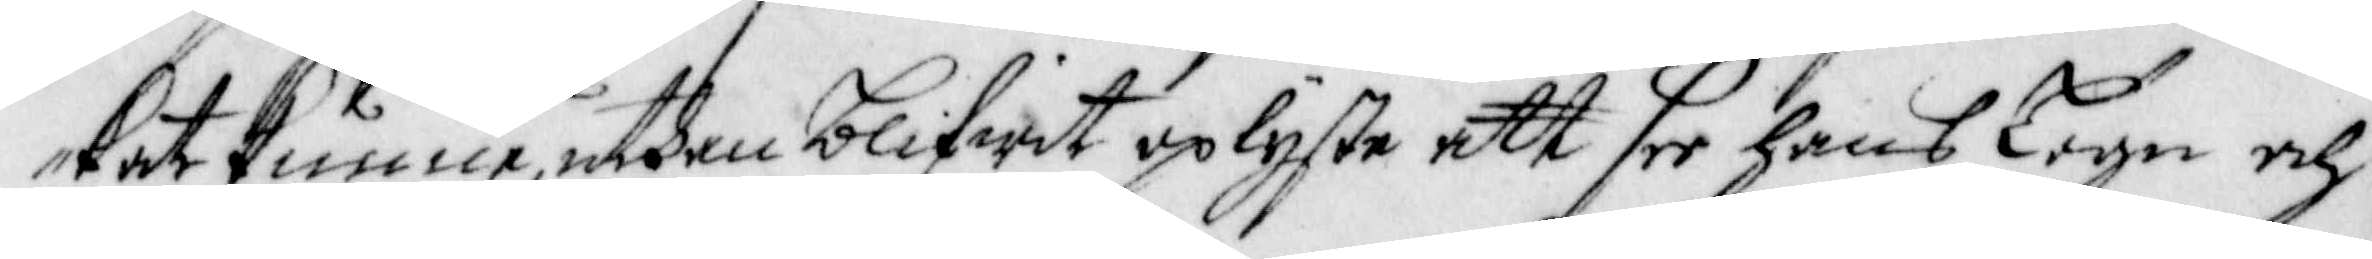kat kunna, uthan blifwit oplyste att see hans Lögn och
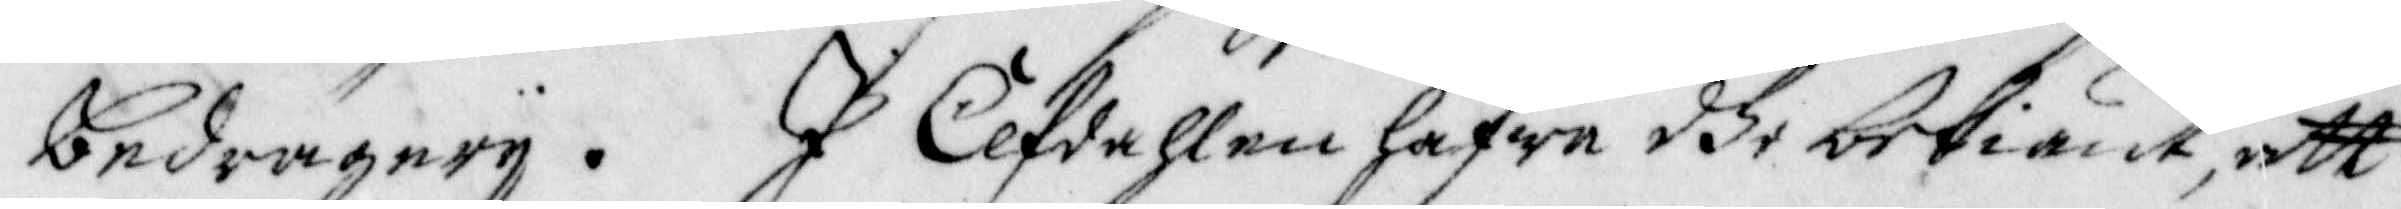bedrägerij. I Elfdahlen hafwa dhe bekiänt, att
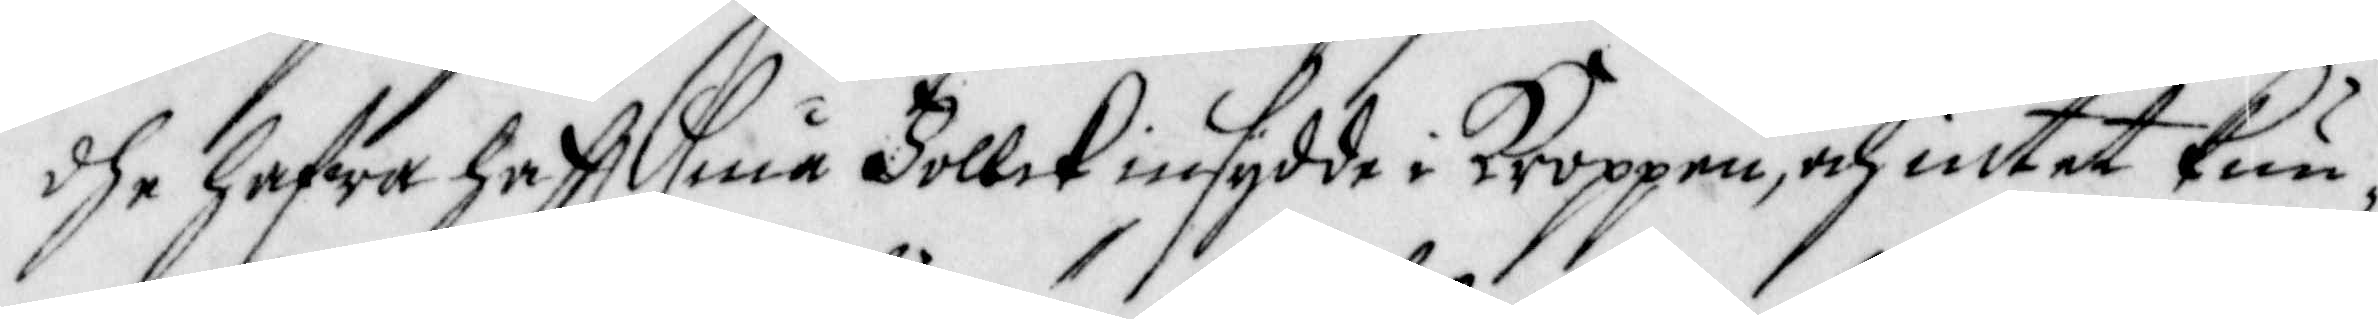dhe hafwa hafft små Follck insydde i Kroppen, och intet kun¬
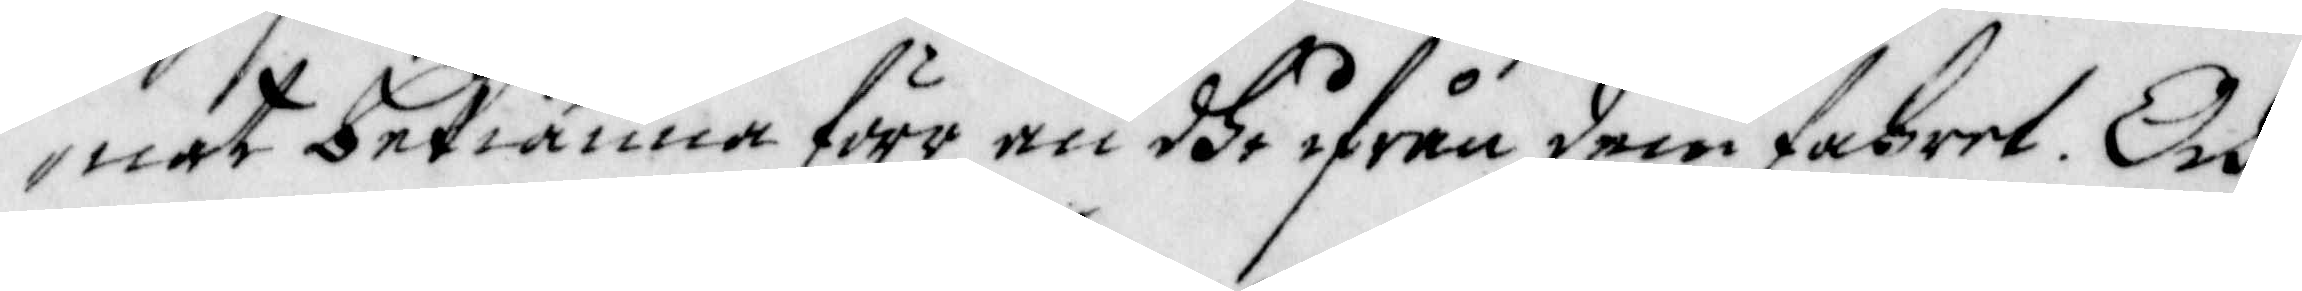nat bekiänna förr än dhe ifrån dem fahret. Och
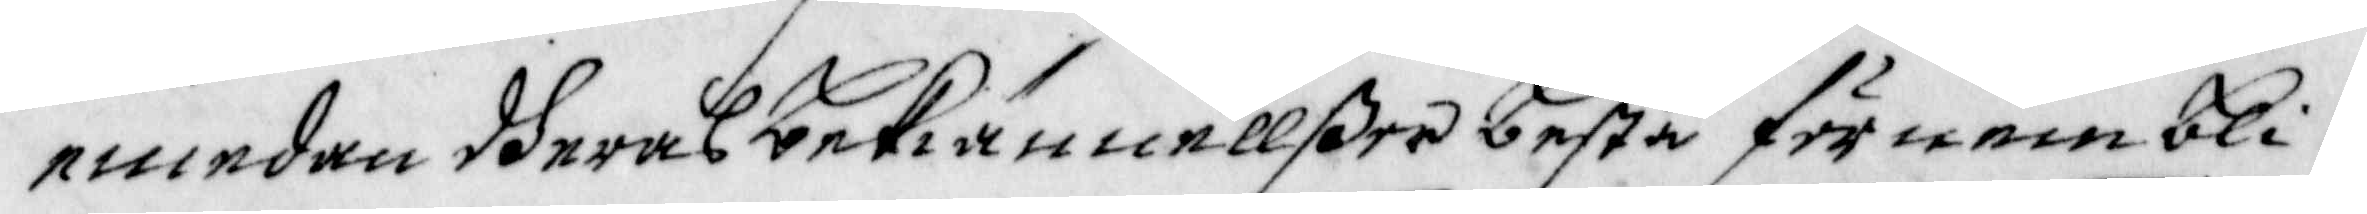emedan dheras bekiännellßer bestå förnembli¬
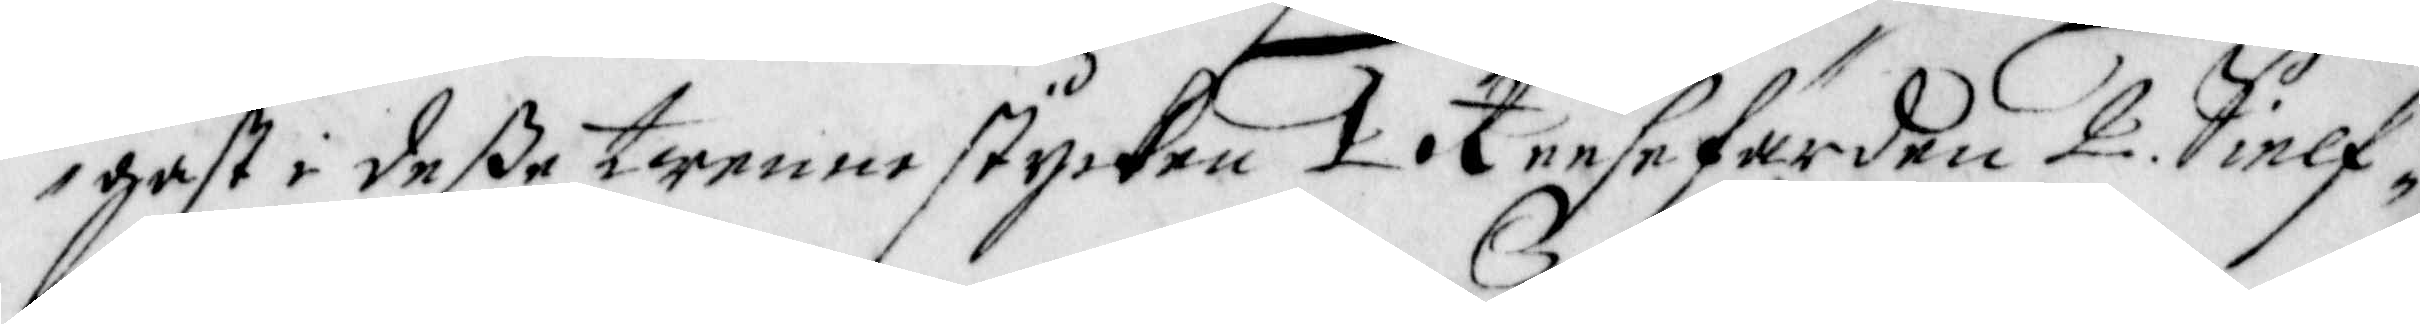gast i deße trenne stycken 1 Reesefärden 2. Sielf¬
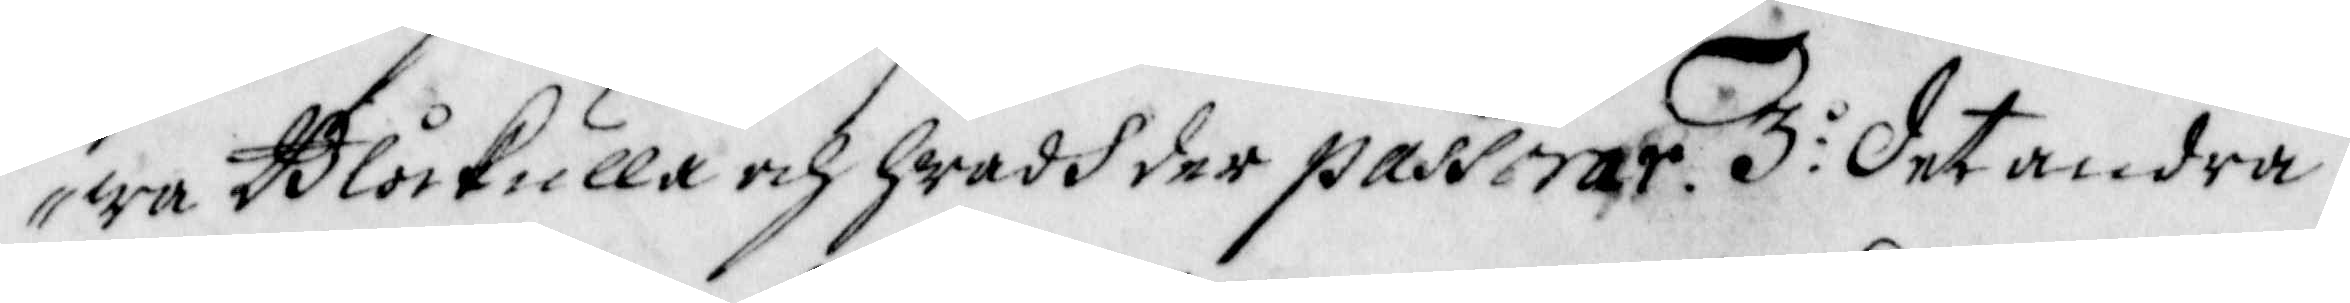wa Blåkulla och hwadh der passerar. 3:o Det andra
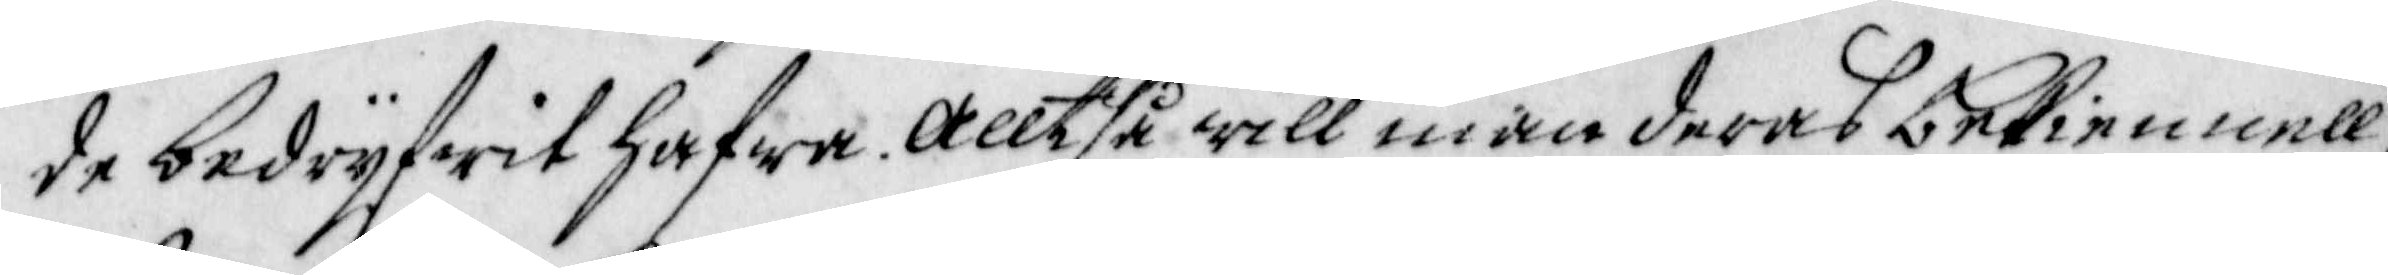de bedrijfwit hafwa. Alltså will man deras bekiennell¬
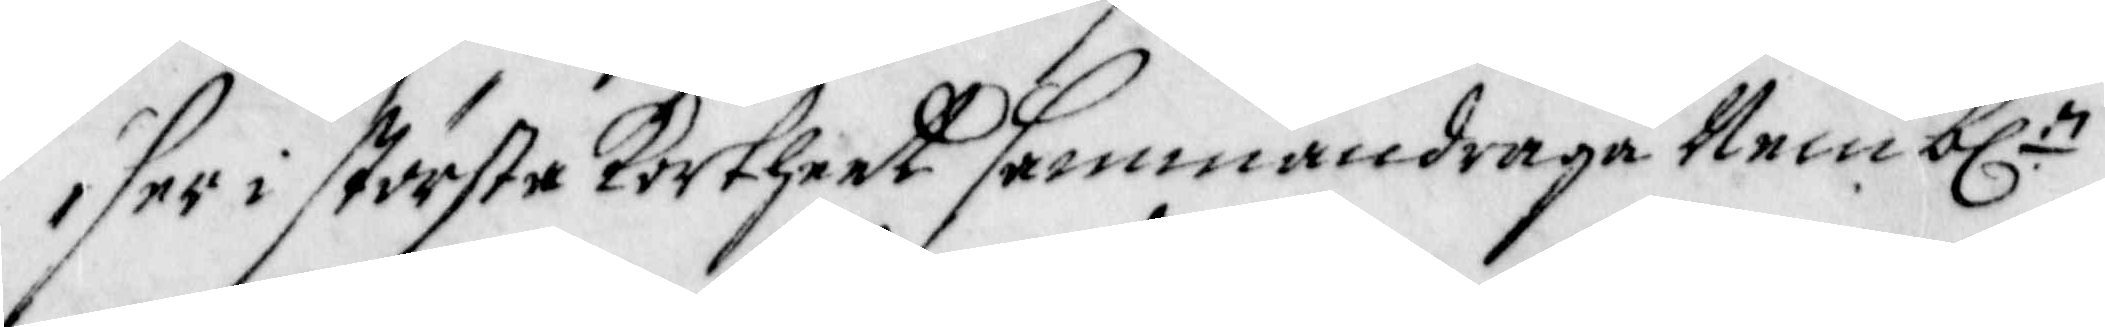ser i största Kortheet sammandraga Nemb:n
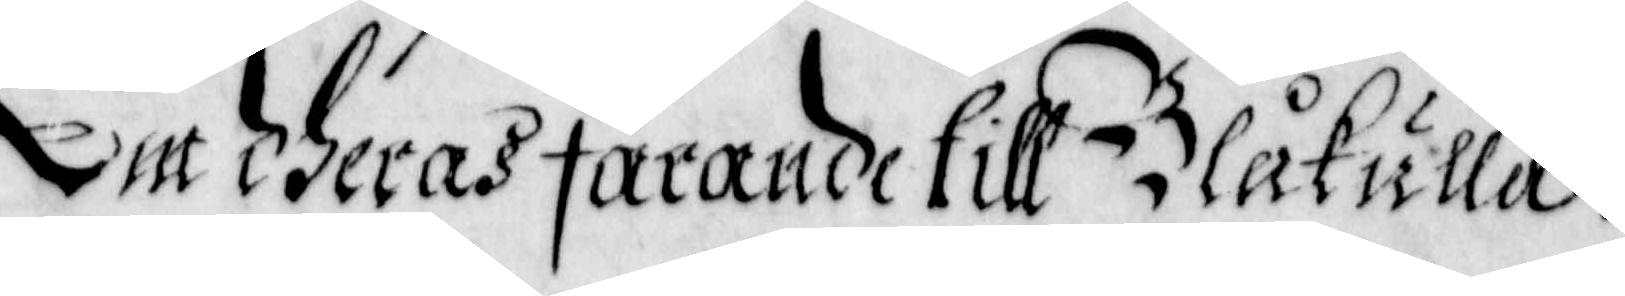Om dheras farande till Blåkulla.
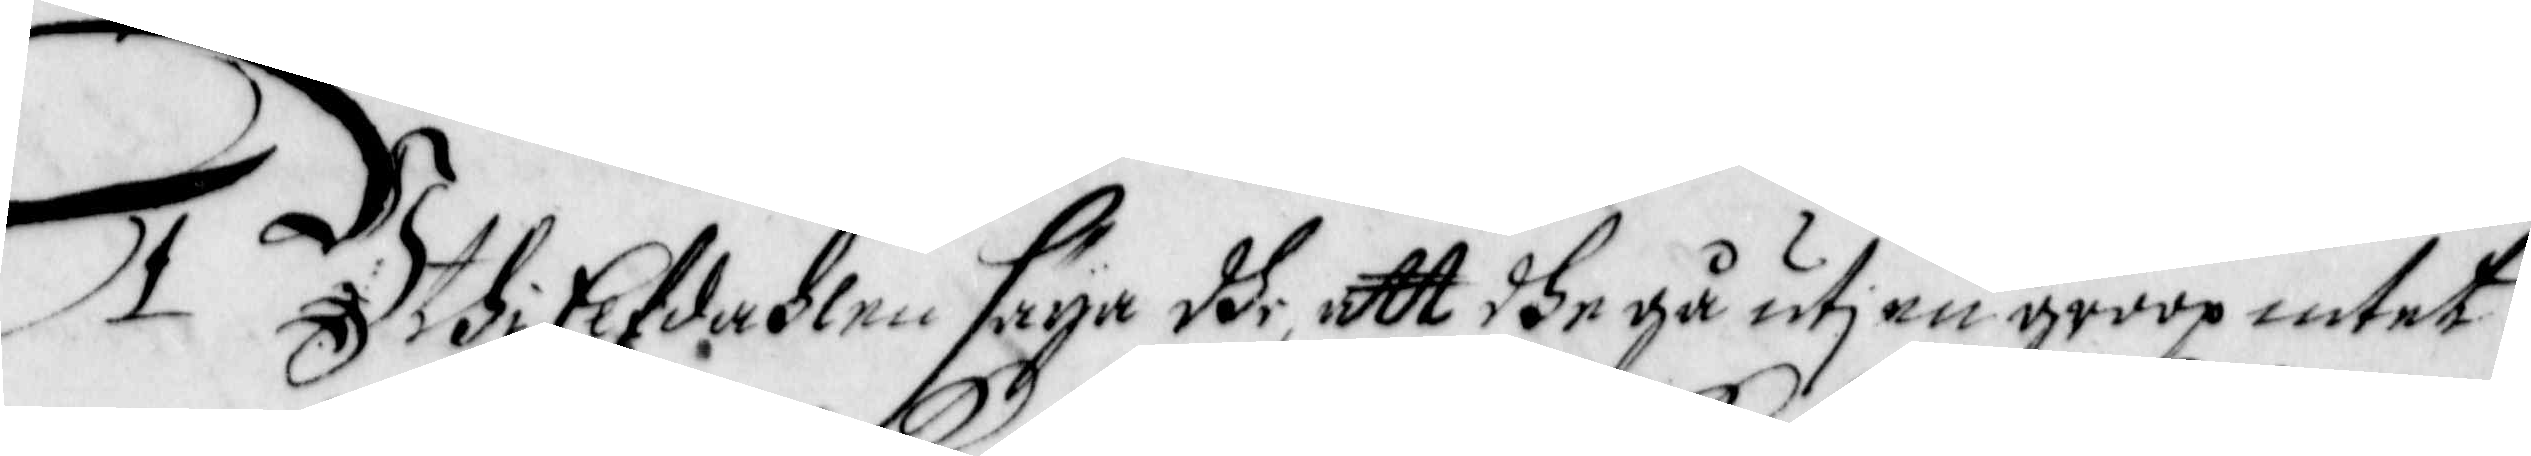1 Uthi Elfdahlen säya dhe, att dhe gå utj en groop intet
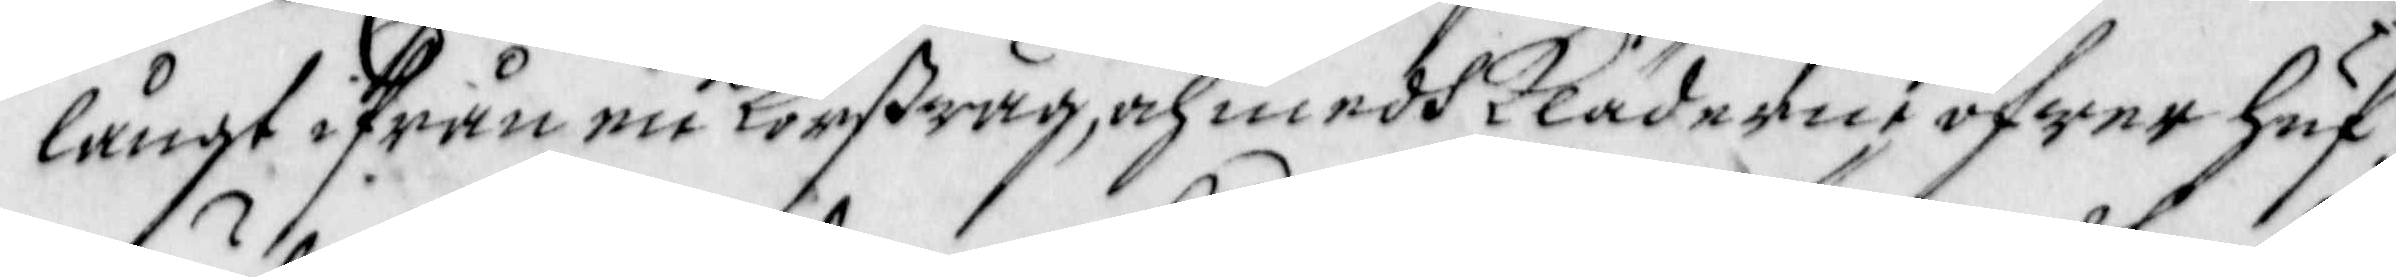långt ifrån en Korswäg, och medh Kläderne öfwer huf¬
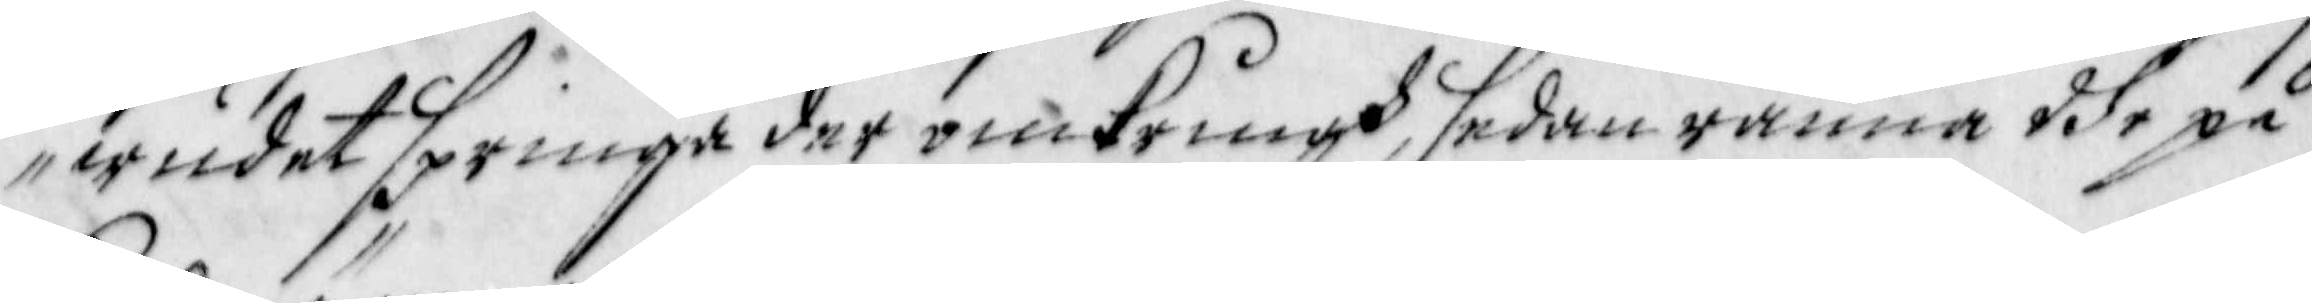wudet springa der omkringh, sedan ränna dhe på
